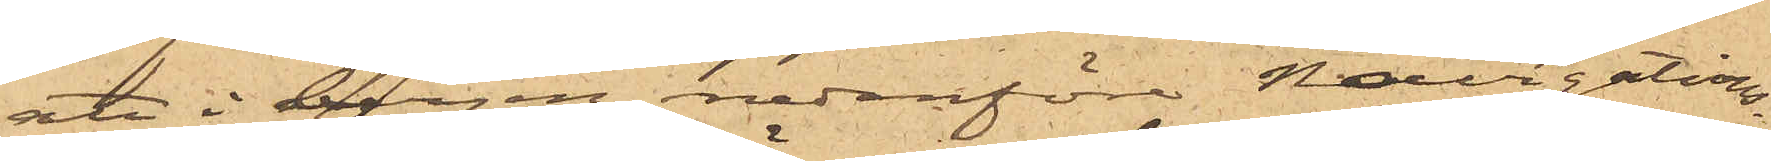att i bergen nedanför Navigations¬
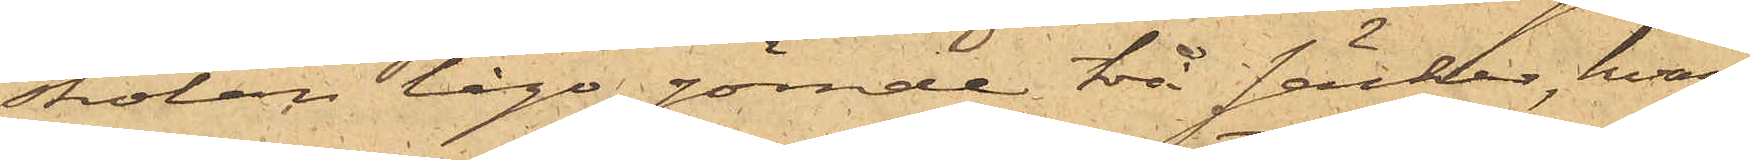skolan lågo gömde två säckar, hvar¬
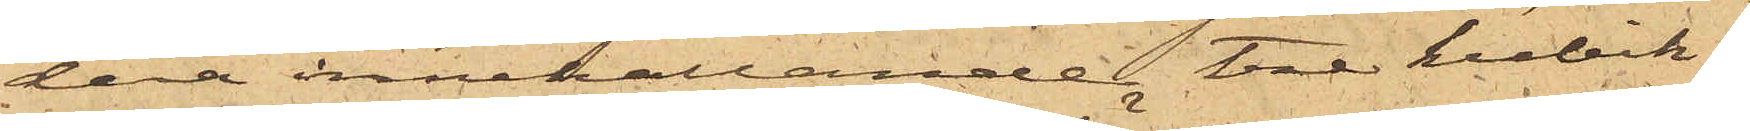dera innehållande tre kubik¬
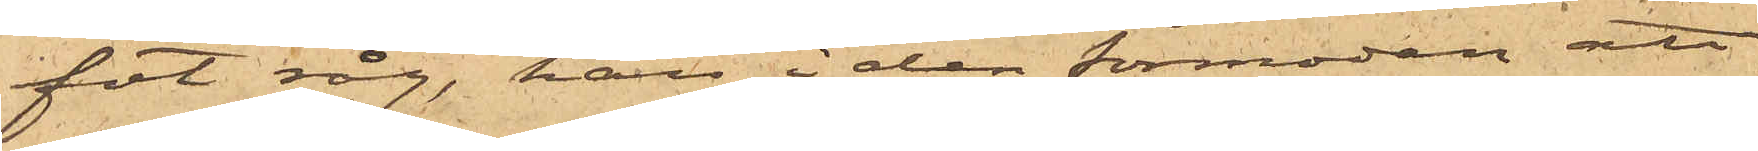fot råg, han, i den förmodan att
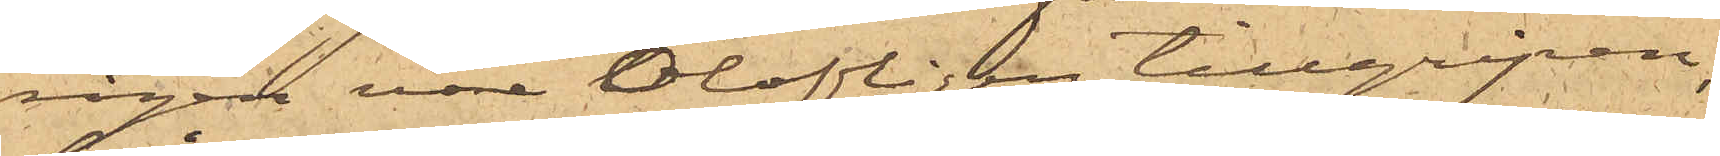rågen vore olofligen tillgripen,
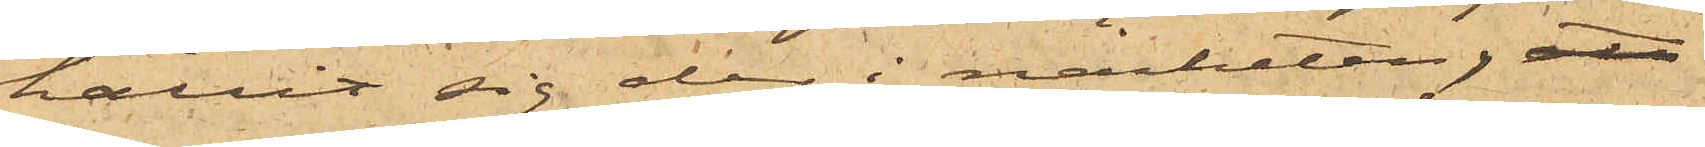hållit sig der i näheten, att
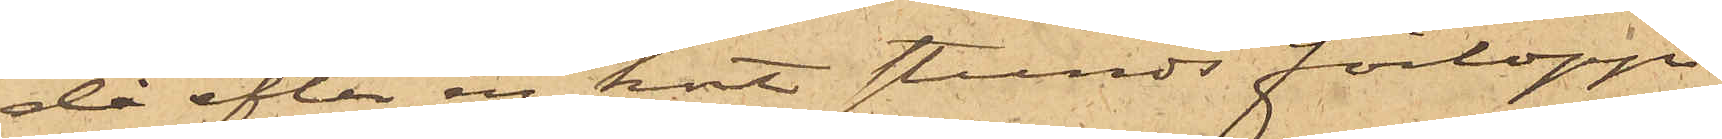då efter en kort stunds förlopp
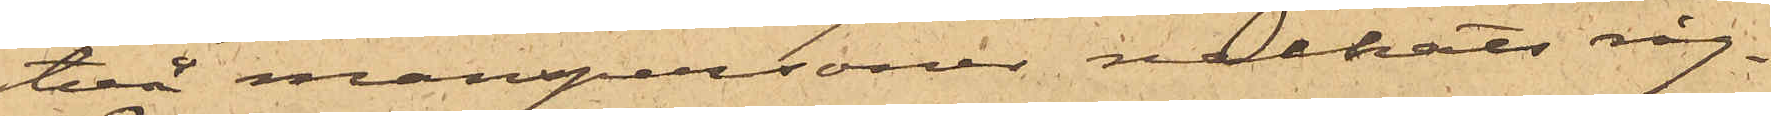två manspersoner nalkats råg¬
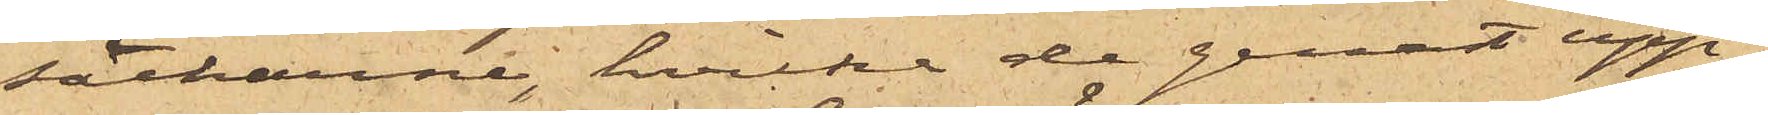säckarne, hvilka de genast upp¬
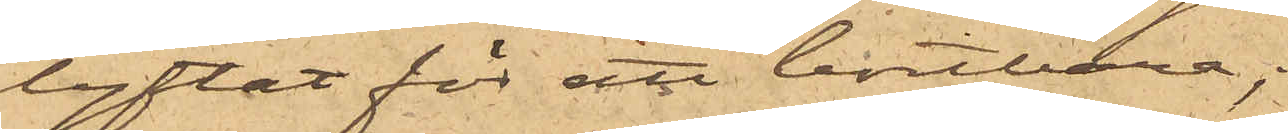lyftat för att bortbära;
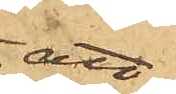att
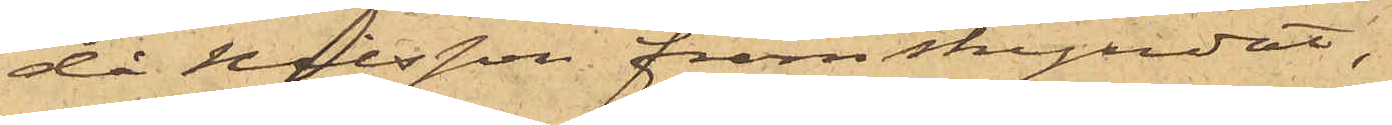då Nilsson, framskyndat,
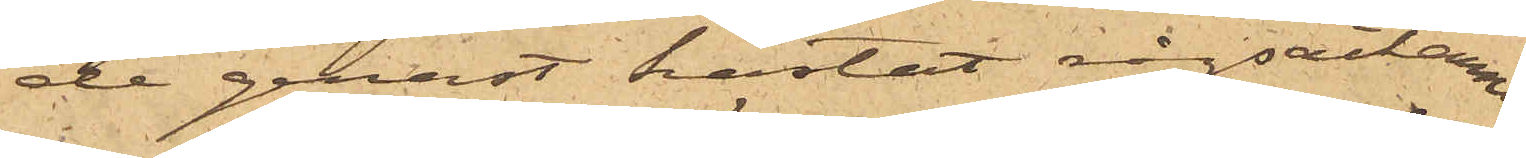de genast kastat rågsäckarna
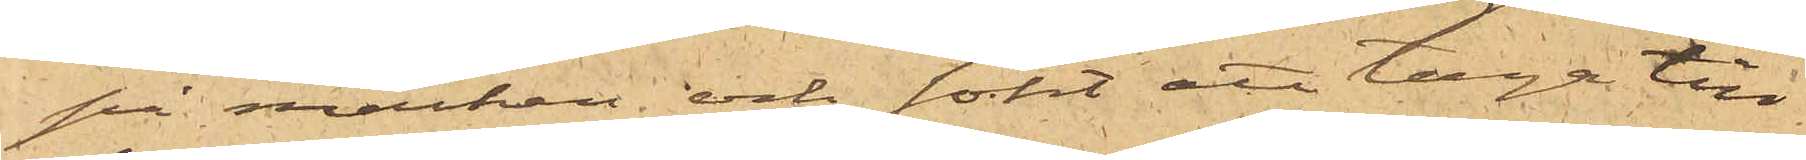på marken och sökt att taga till
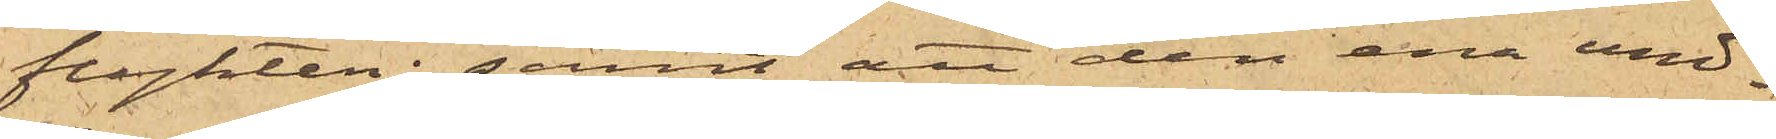flygten; samt att den ene und¬
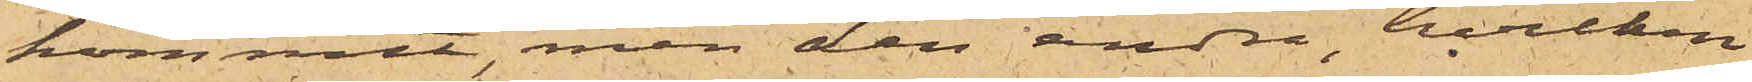kommit, men den andre, hvilken
